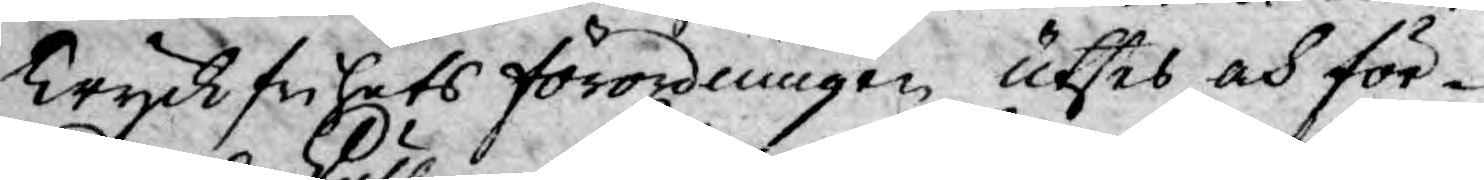Tryckfrihets förordningen utses och för¬
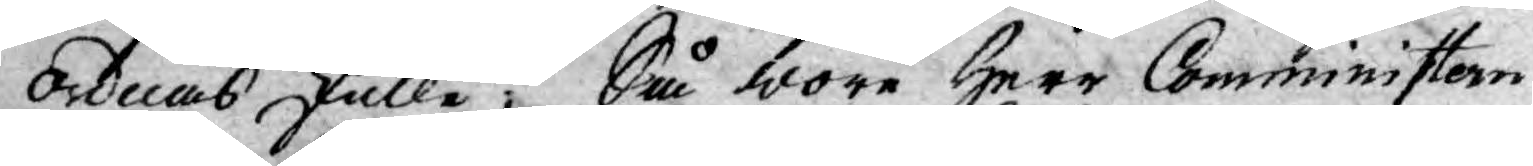ordnas skulle, Så wore Herr Comministern
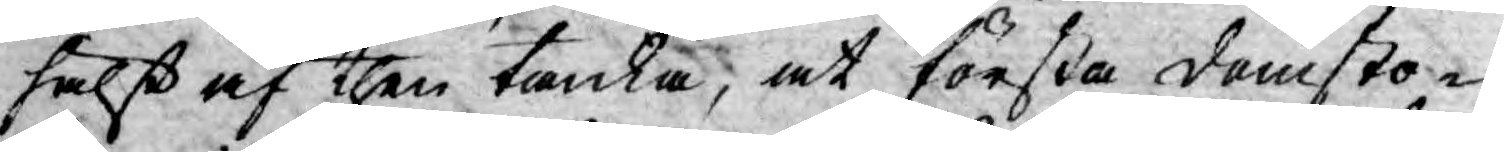helst af then tanka, at första domsto¬
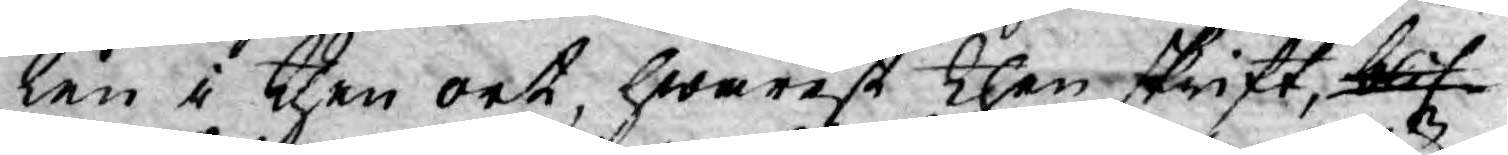len i then ort, hwarest then skrift, blif¬
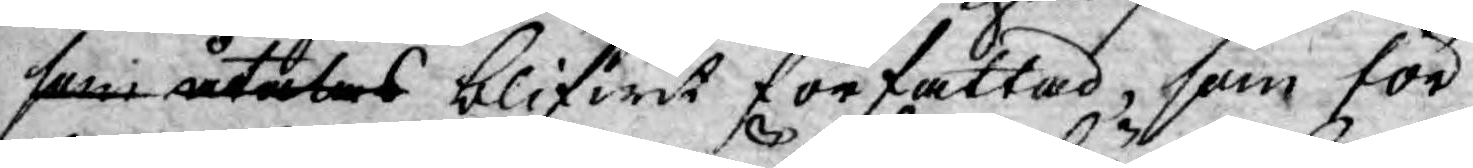som åtalas blifwit författad, som för
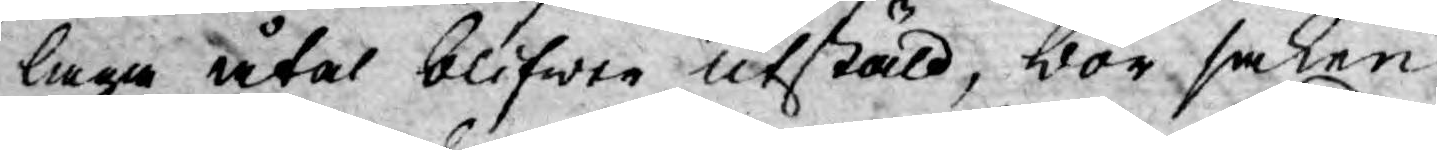laga åtal blifwer utstäld, bör saken
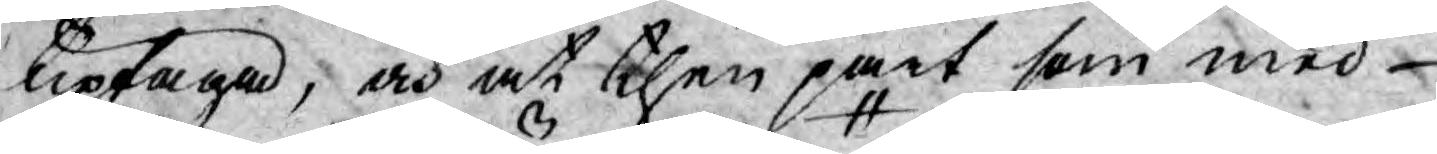uptaga, och at then part som med
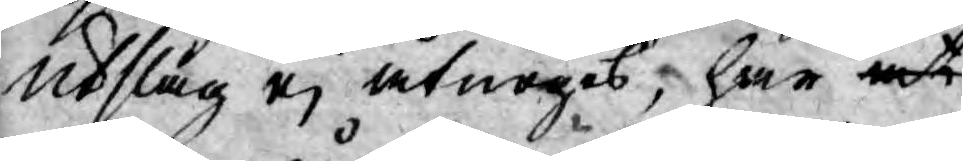utslag ej åtnöges; har at
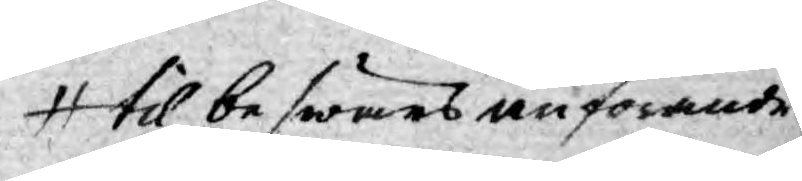til beswärs anförande
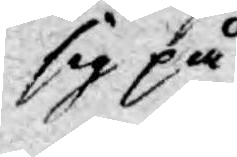sig på
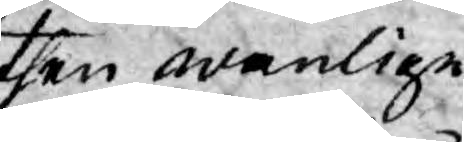then wanlige
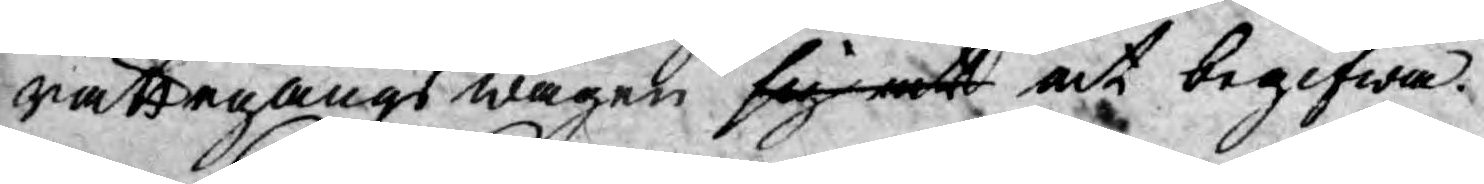rättegångs wägen sig at at begifwa.
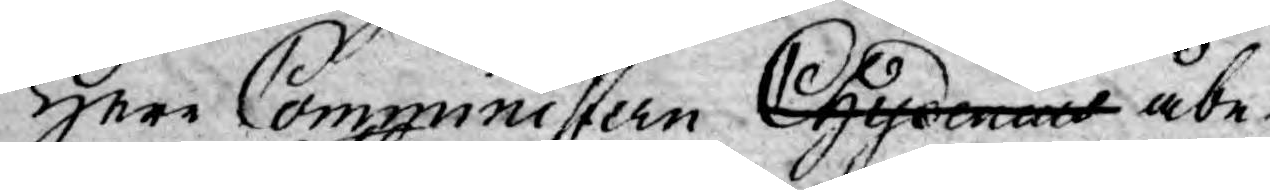Herr Comministern Chydenius åbe¬
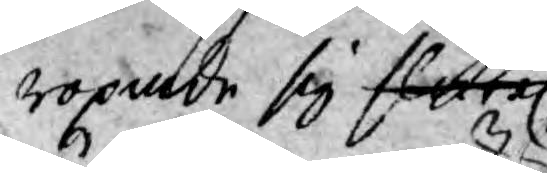ropade sig flertal
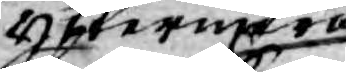yttermera
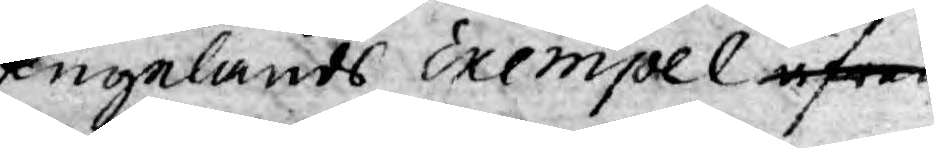Engelands Exempel äfwen
